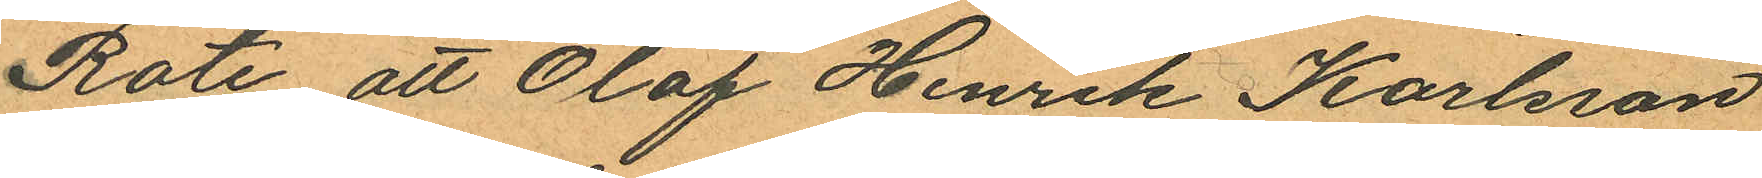Rote att Olof Henrik Karlsson
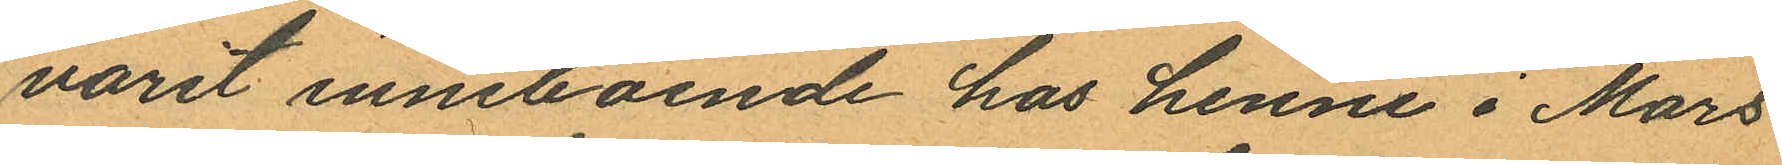varit inneboende hos henne i Mars
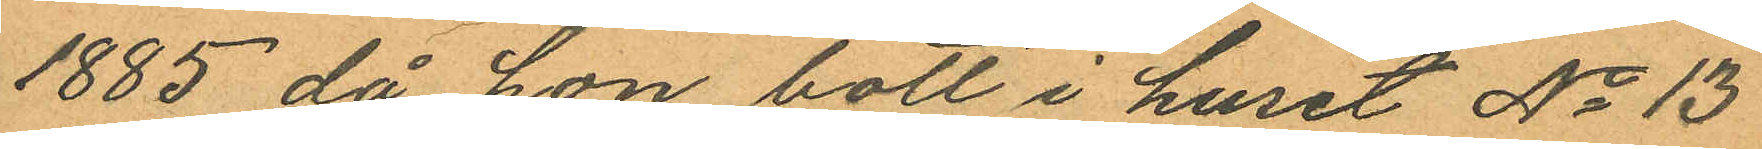1885, då hon bott i huset No 13
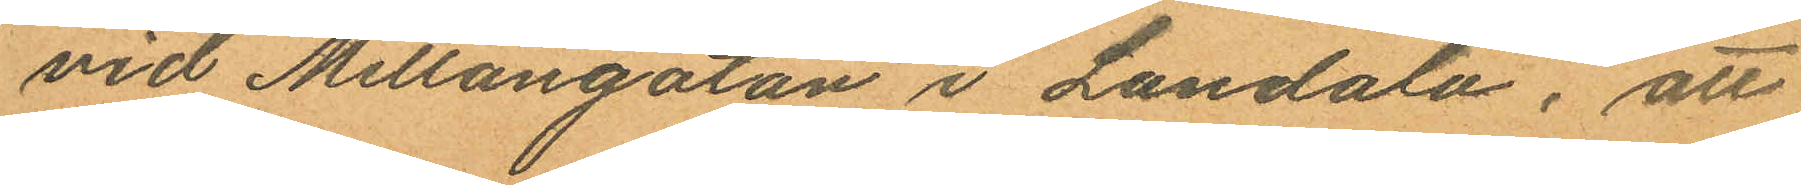vid Mellangatan i Landala, att
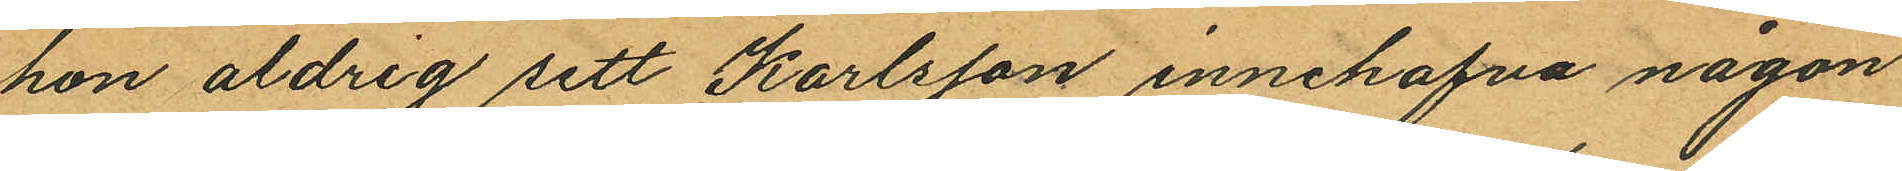hon aldrig sett Karlsson innehafva någon
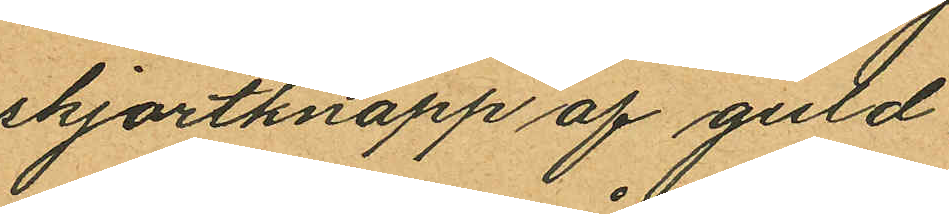skjortknapp af guld,
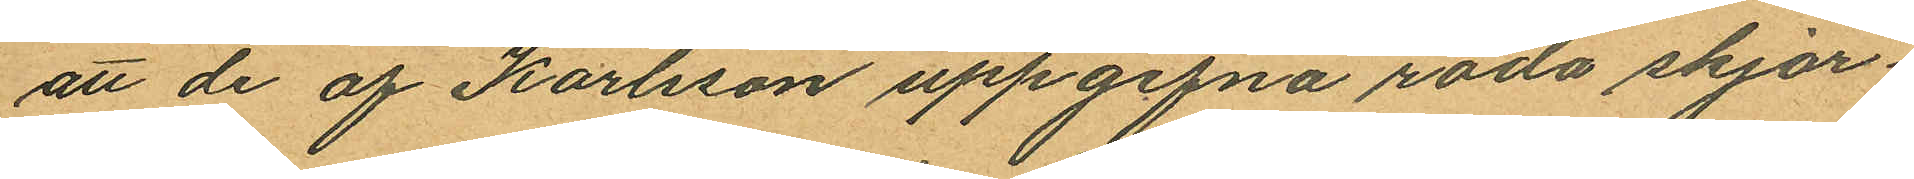att de af Karlsson uppgifna röda skjor¬
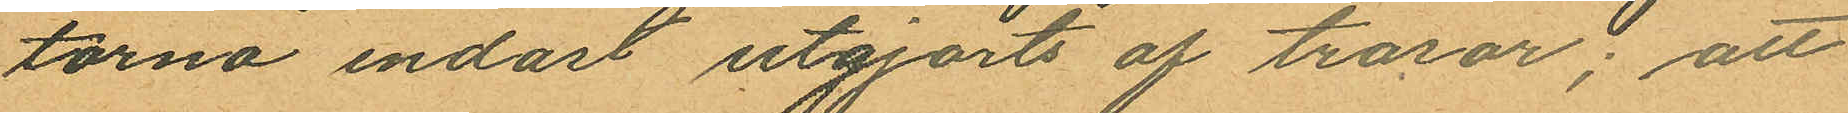torna endast utgjorts af trasor; att
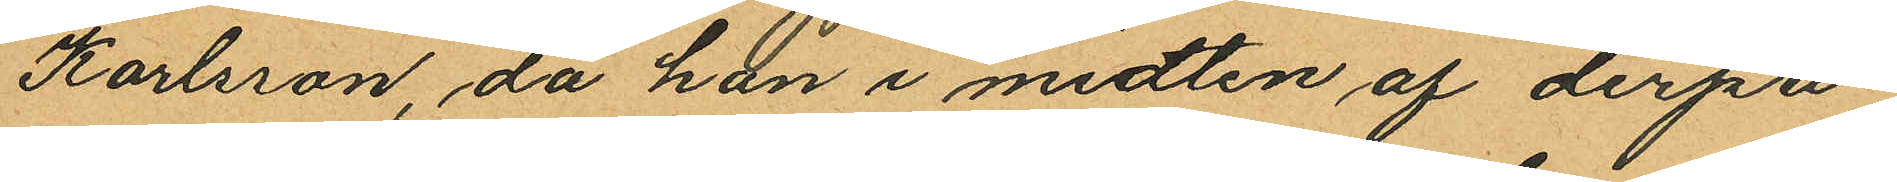Karlsson, då han i midten af derpå¬
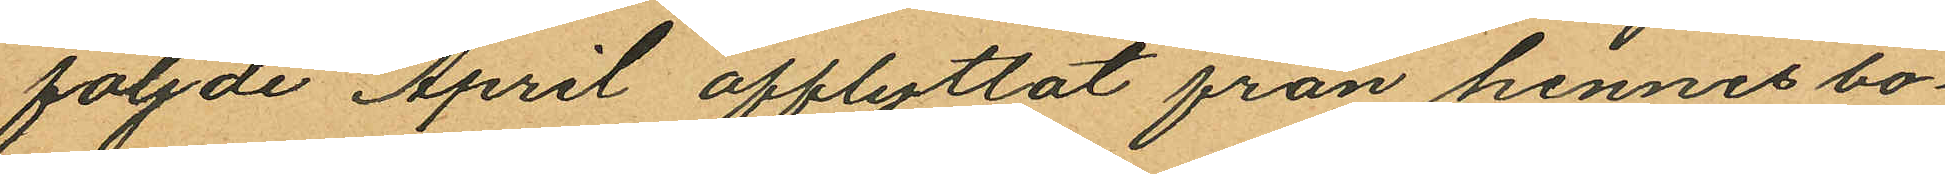följde April afflyttat från hennes bo¬
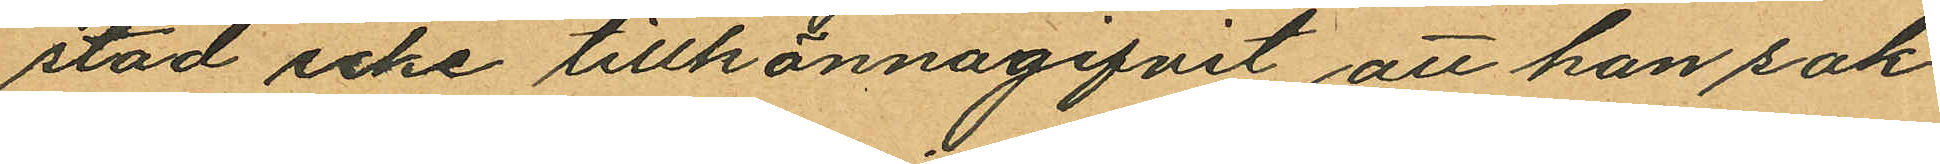stad icke tillkännagifvit att han sak¬
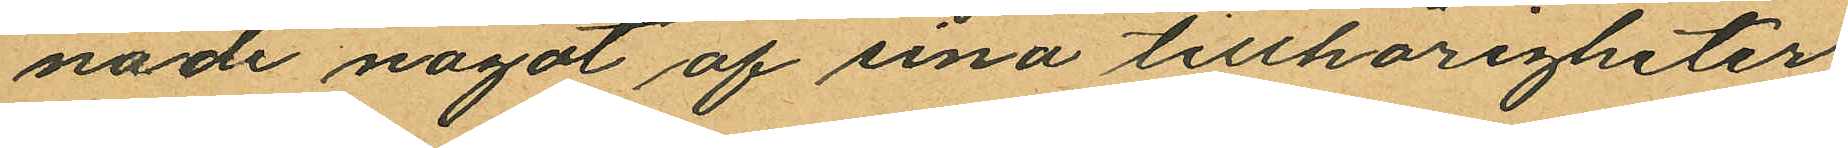nade något af sina tillhörigheter;
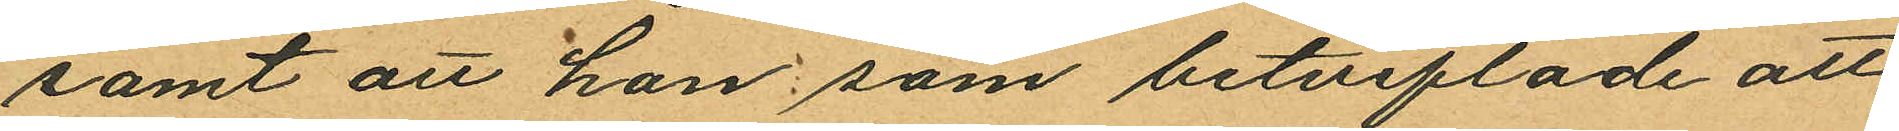samt att han, som betviflade att
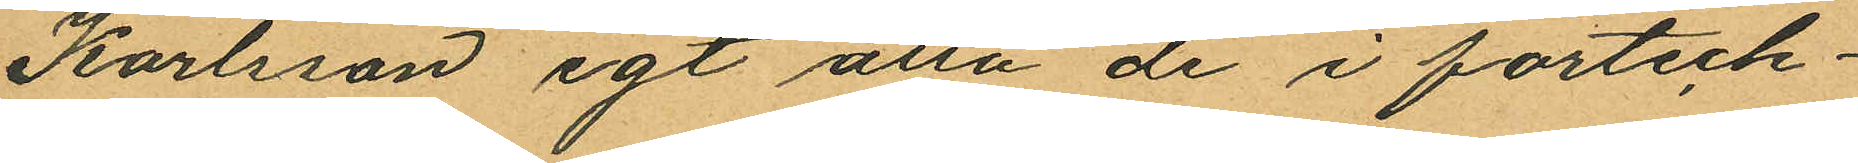Karlsson egt alla de i förteck¬
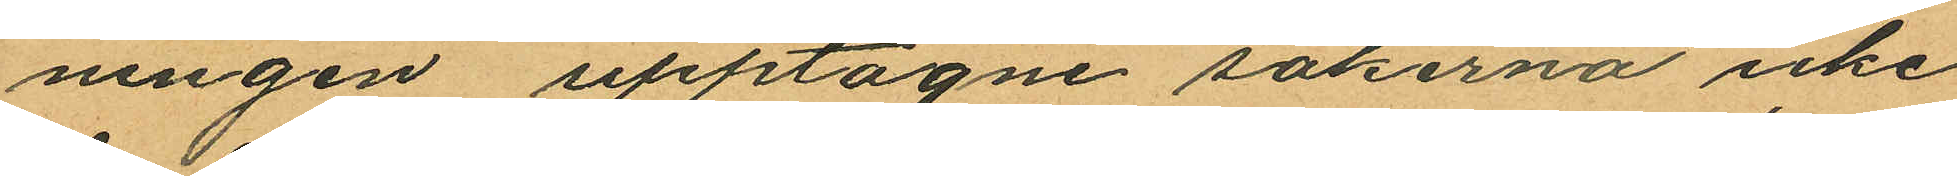ningen upptagne sakerna icke
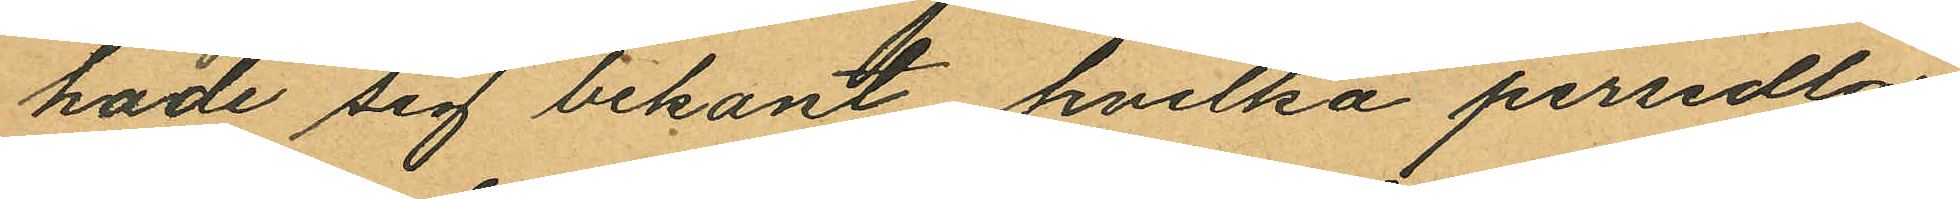hade sig bekant hvilka persedlar
